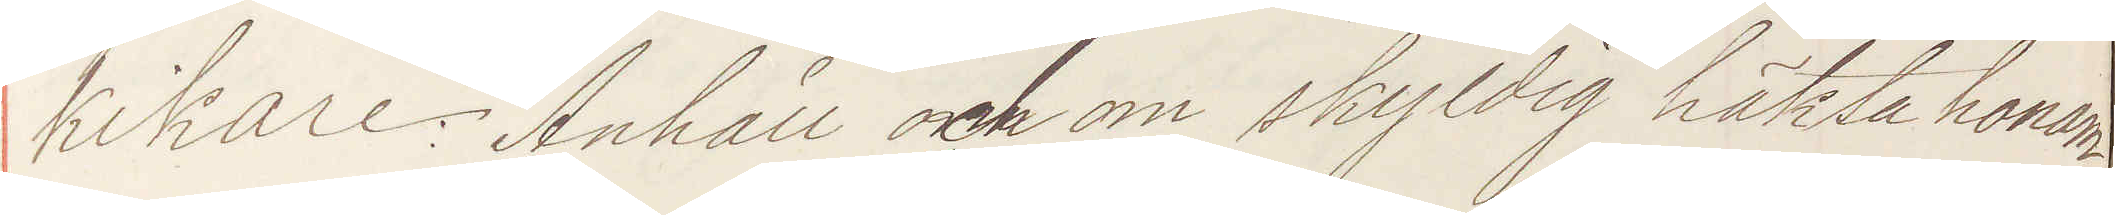kikare: Anhåll och om skyldig häkta honom
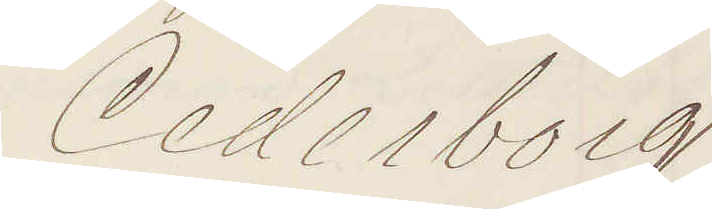Cederborg
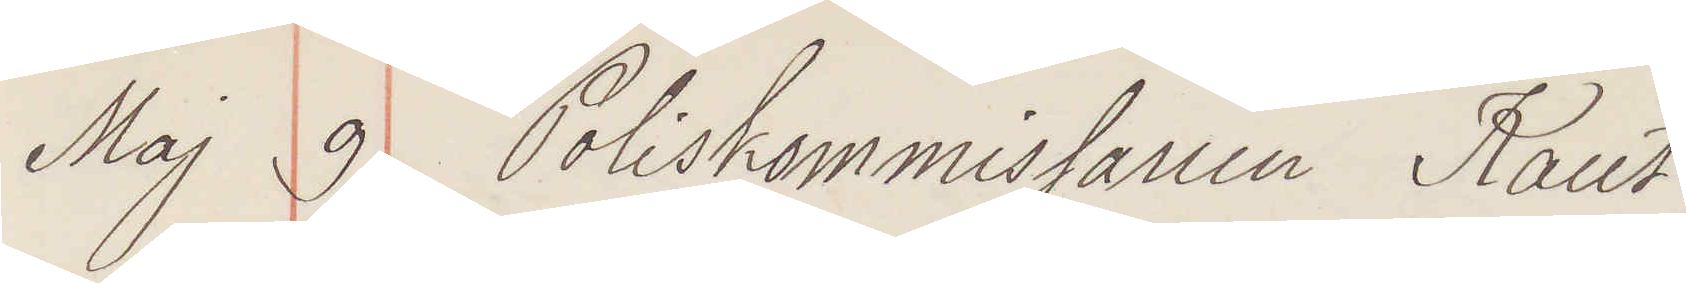Maj 9 Poliskommissaien Kant
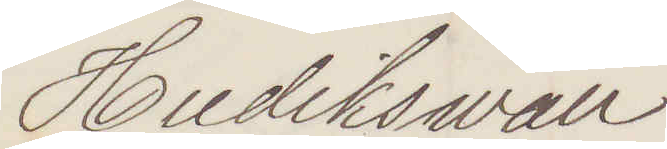Hudiksvall
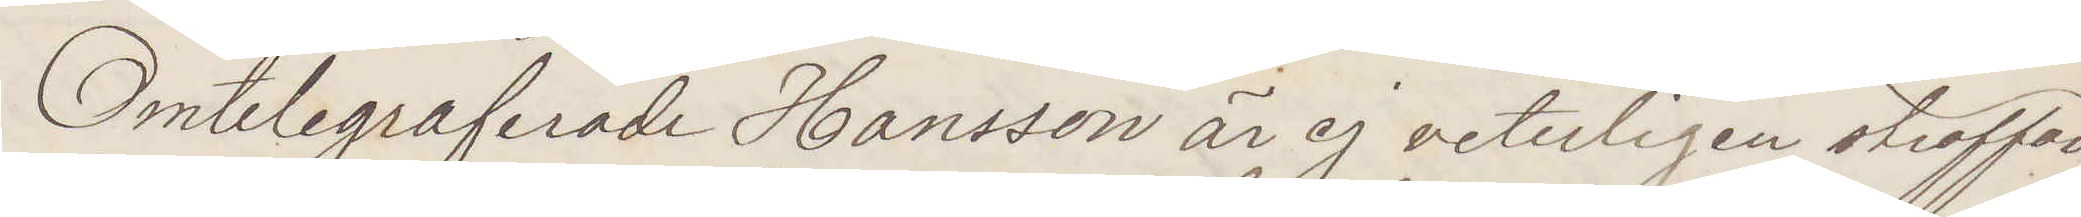Omtelegraferade Hansson är ej veterligen straffad
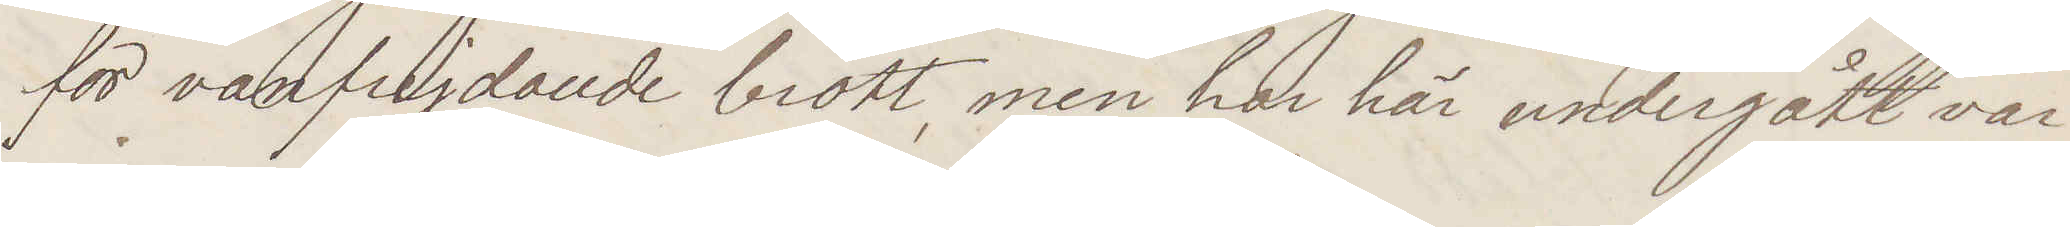för vanfrejdande brott, men har här undergott var¬
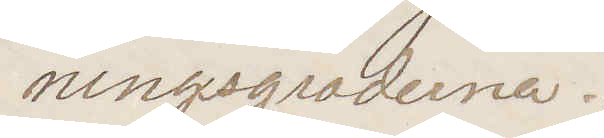ningsgraderna.
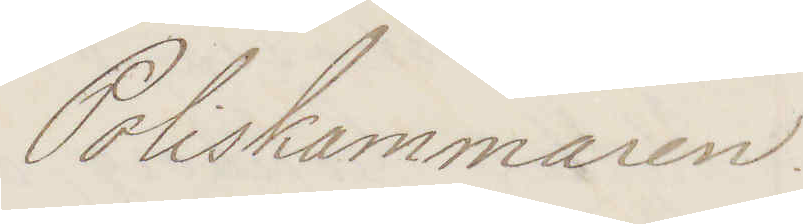Poliskammaren.
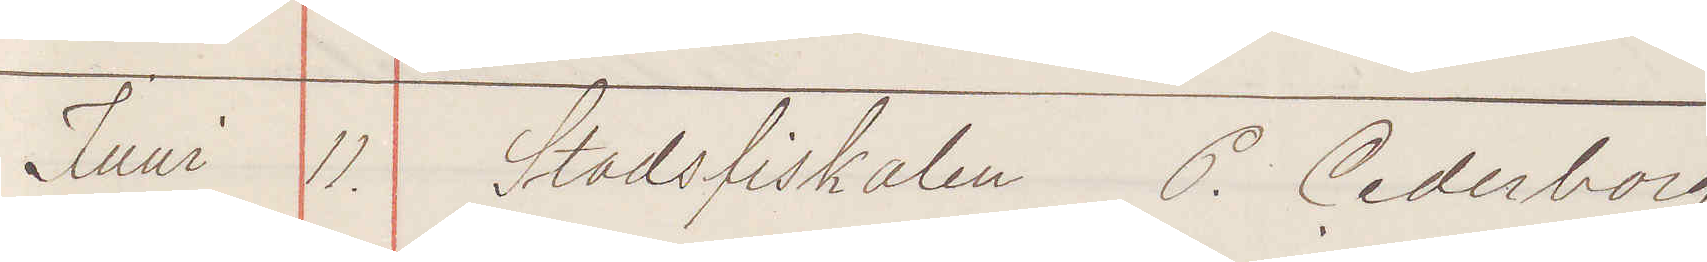Juni 11. Stadsfiskalen P. Cederborg
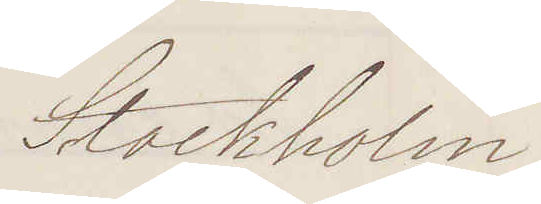Stockholm
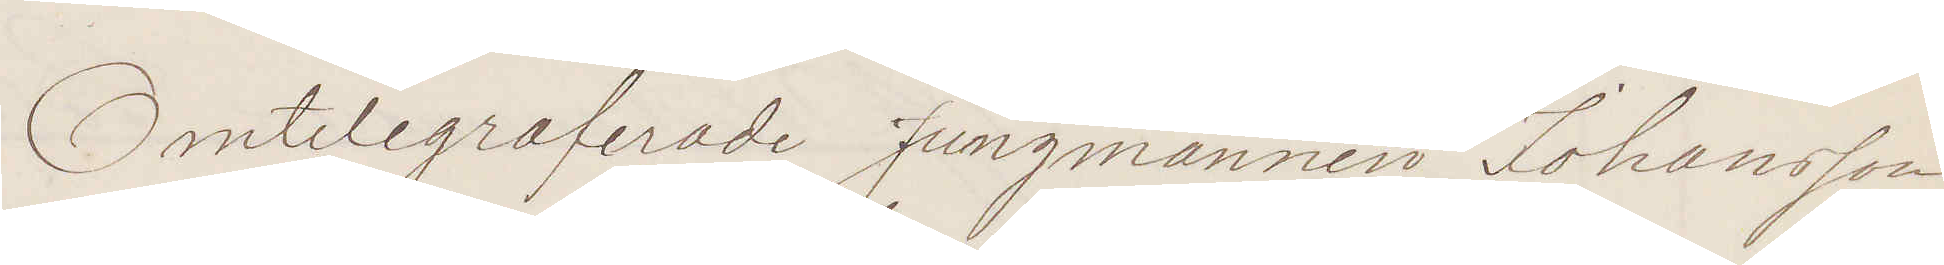Omtelegraferade Jungmannen Johansson
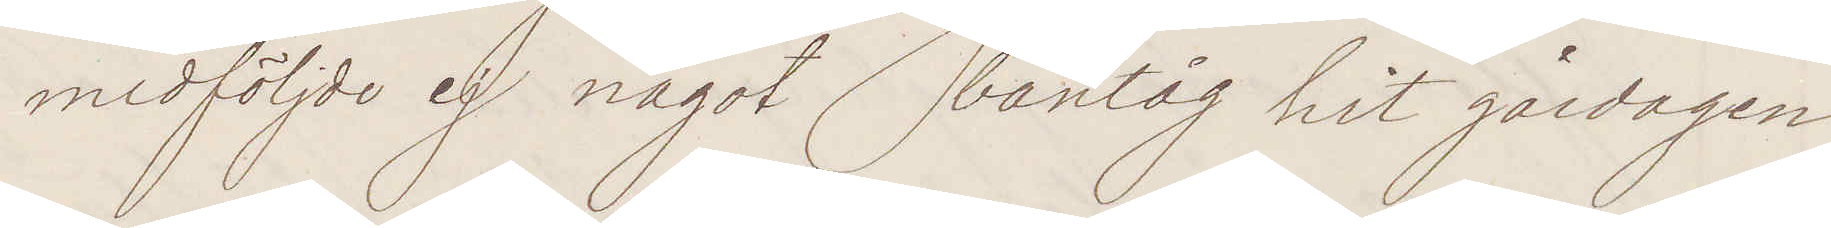medföljde ej något bantåg hit gårdagen
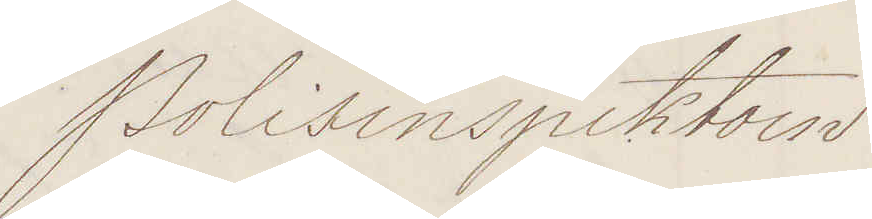Polisinspektorn
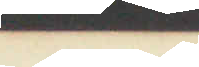1876.
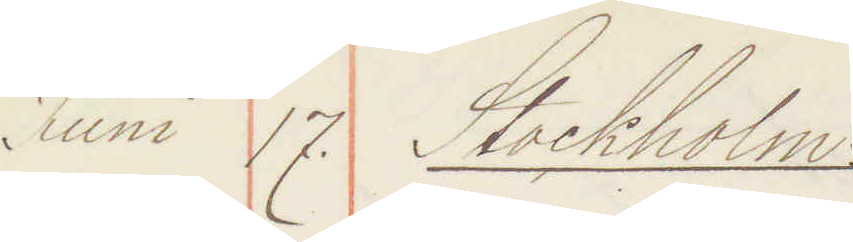Juni 17. Stockholm
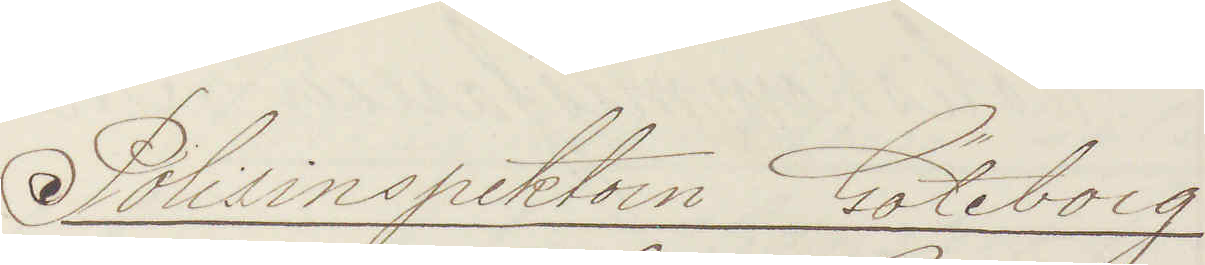Polisinspektorn Göteborg.
